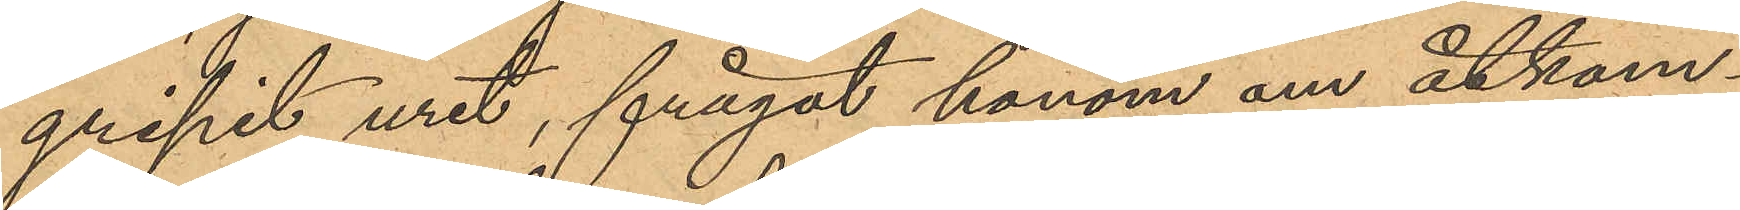gripit uret, frågat honom om åtkom¬
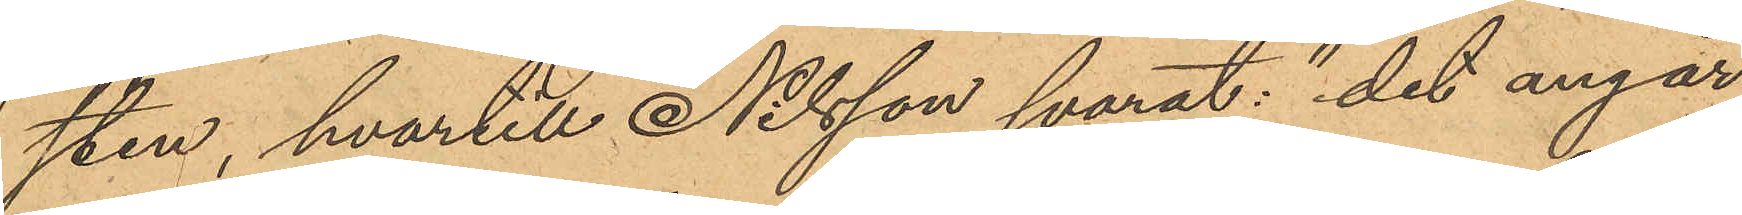sten, hvartill Nilsson svarat: "det angår
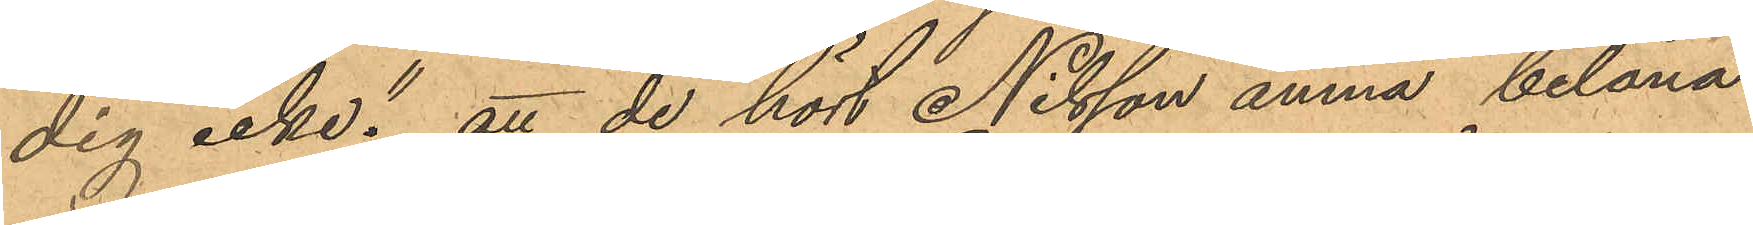dig icke"; att de hört Nilsson ämna belåna
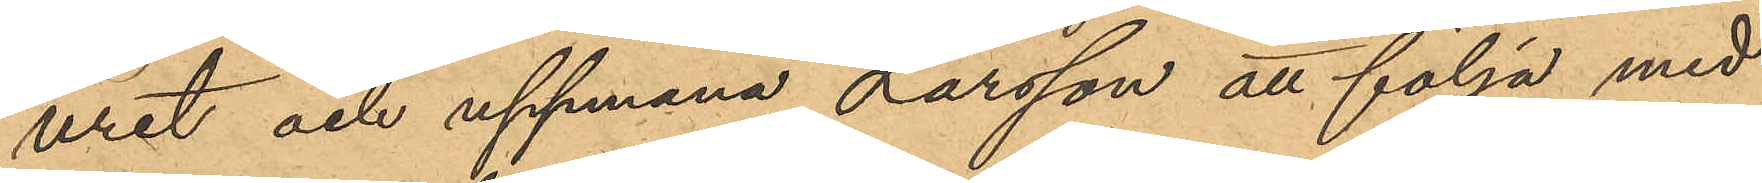uret och uppmana Larsson att följa med
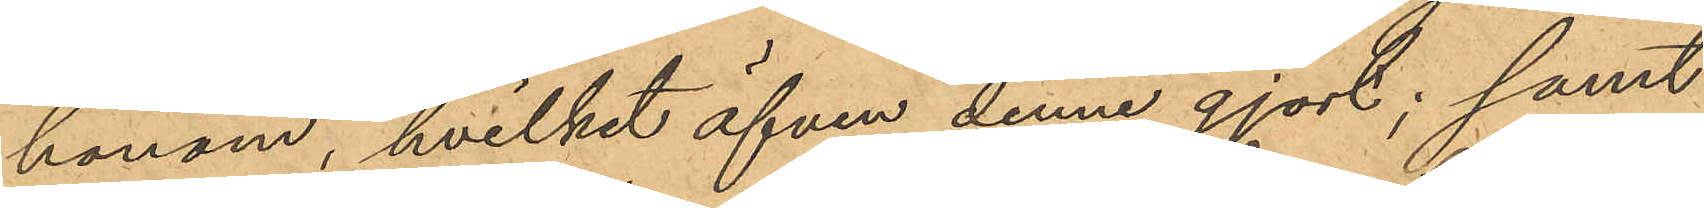honom, hvilket äfven denne gjort; samt
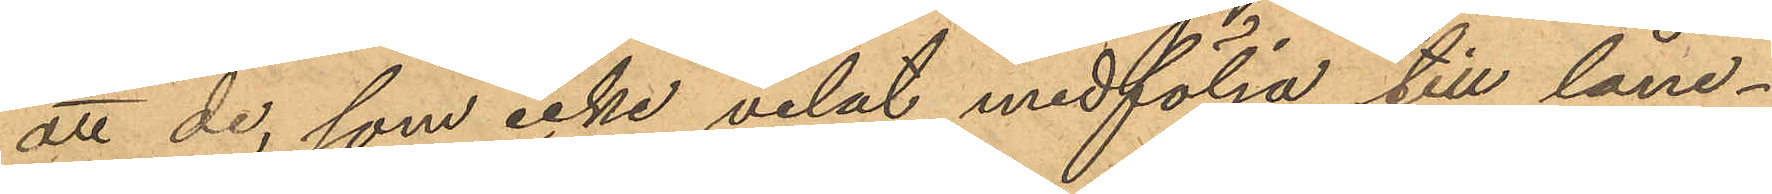att de, som icke velat medfölja till låne¬
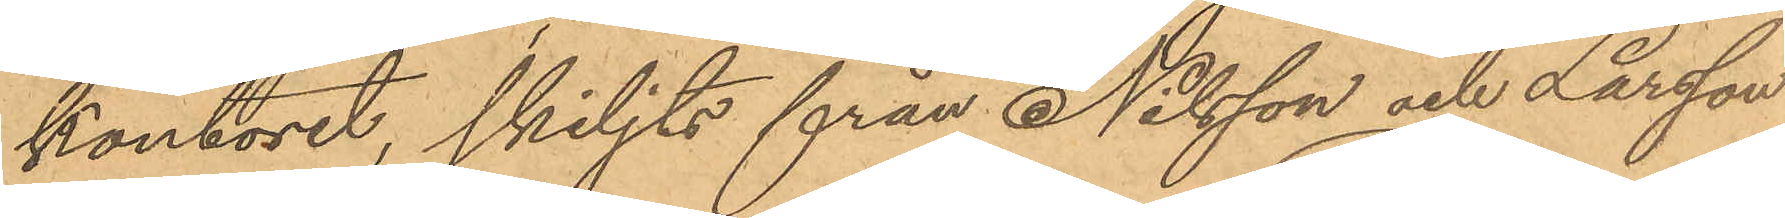kontoret, skiljts från Nilsson och Larsson
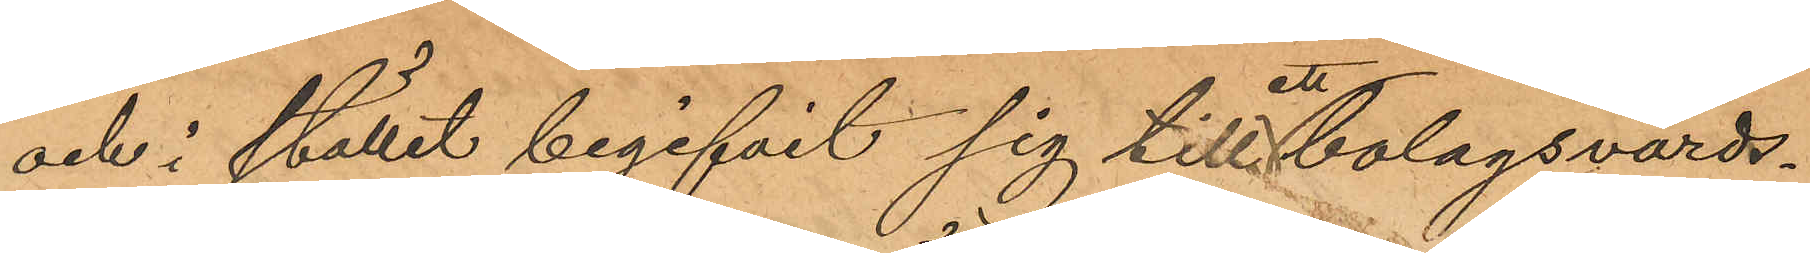och i ställit begifvit sig till ett bolagsvärds¬
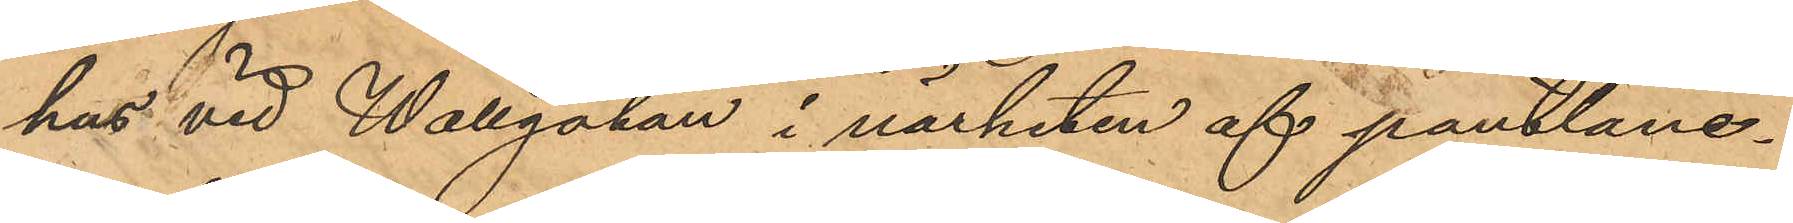hus vid Wallgatan i närheten af pantlåne¬
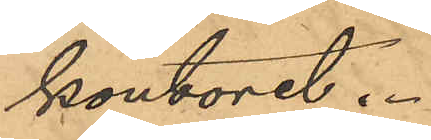kontoret.
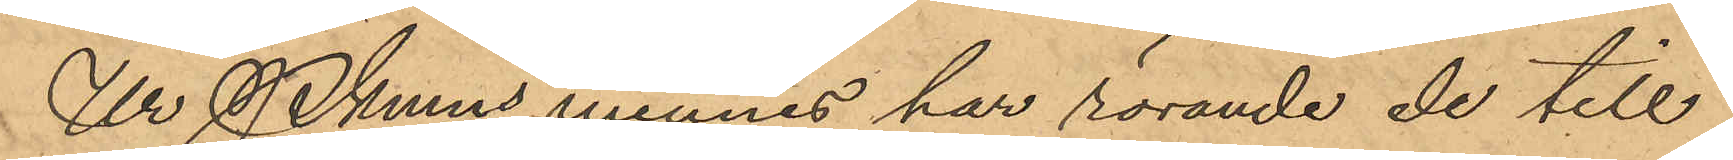Ur Pkmns minnes har rörande de till¬
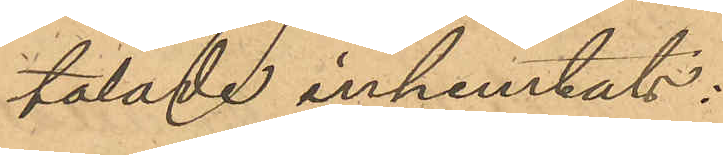talade inhemtats:
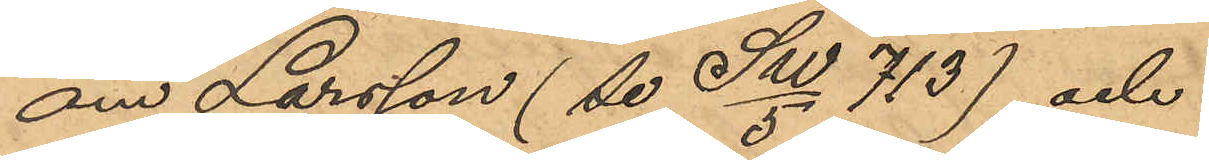om Larsson (se SW/5 713) och
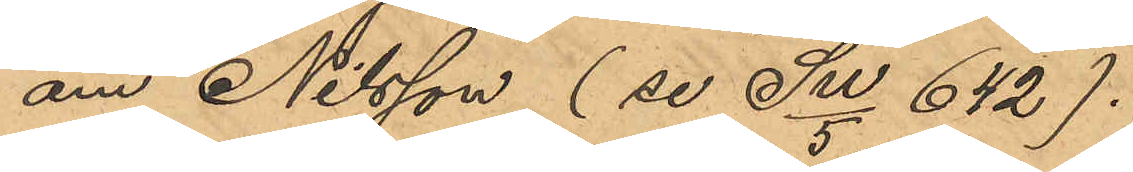om Nilsson (se SW/5 642).
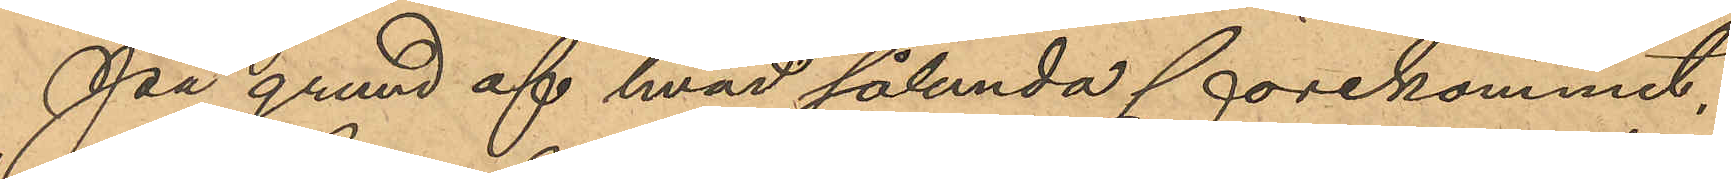På grund af hvad sålunda förekommit,
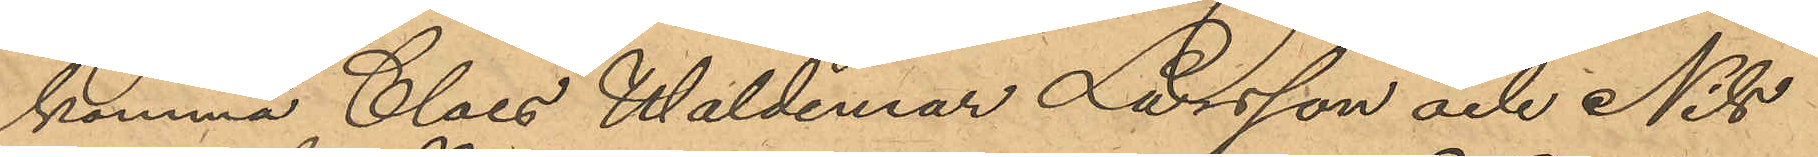komma Claes Waldemar Larsson och Nils
